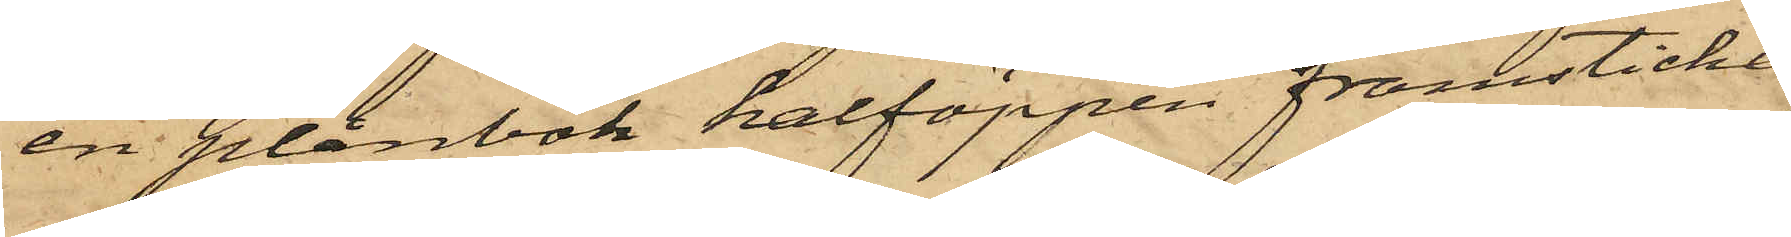en plånbok halföppen framsticka
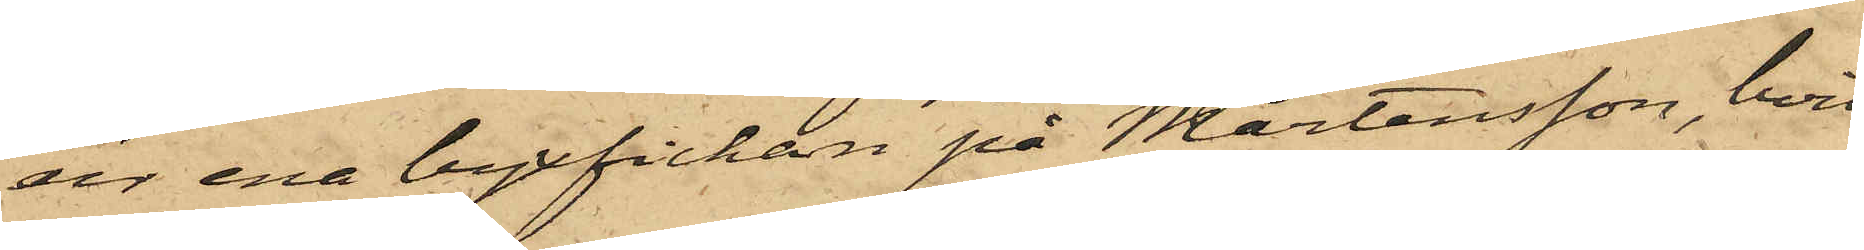ur ena byxfickan på Mårtensson, hvil¬
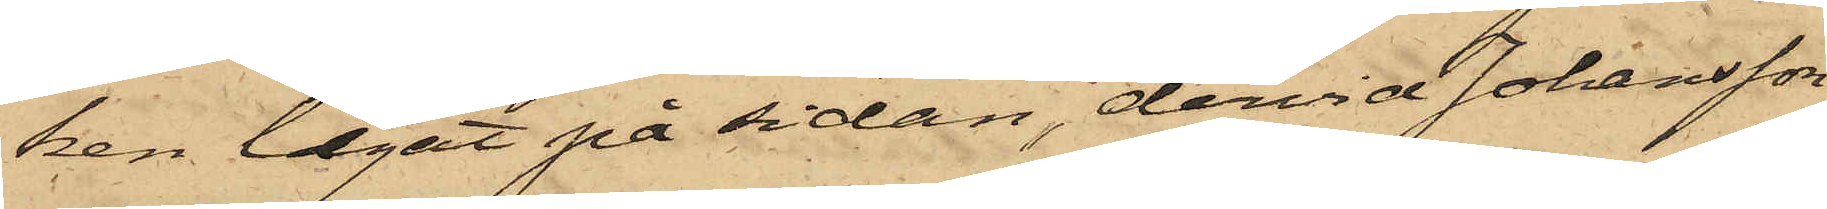ken legat på sidan, dervid Johansson
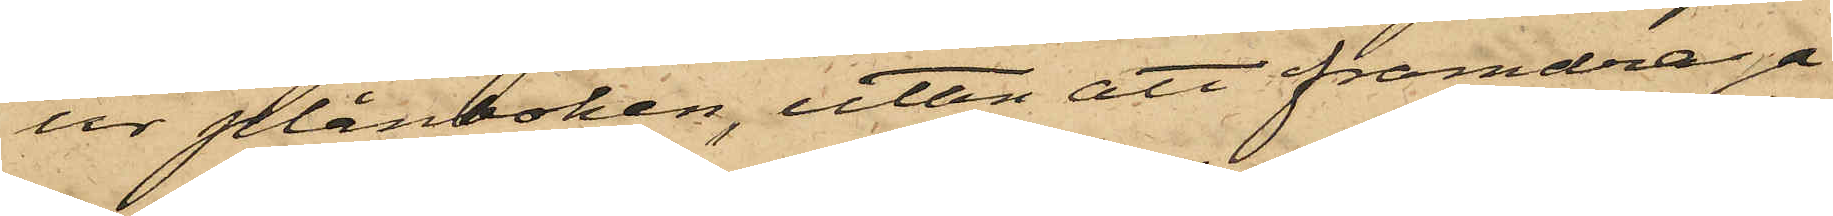ur plånboken, utan att framdraga
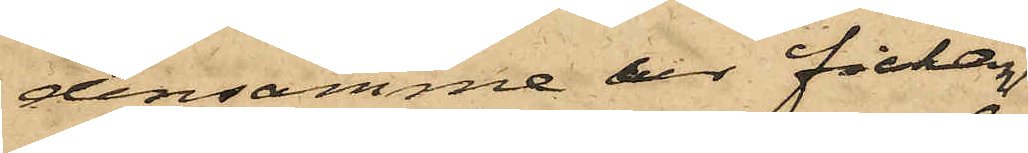densamme ur fickan,
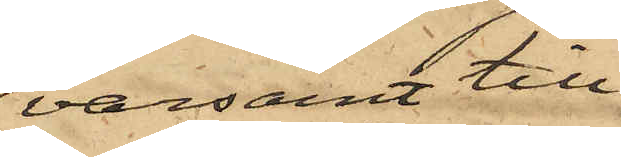varsamt till¬
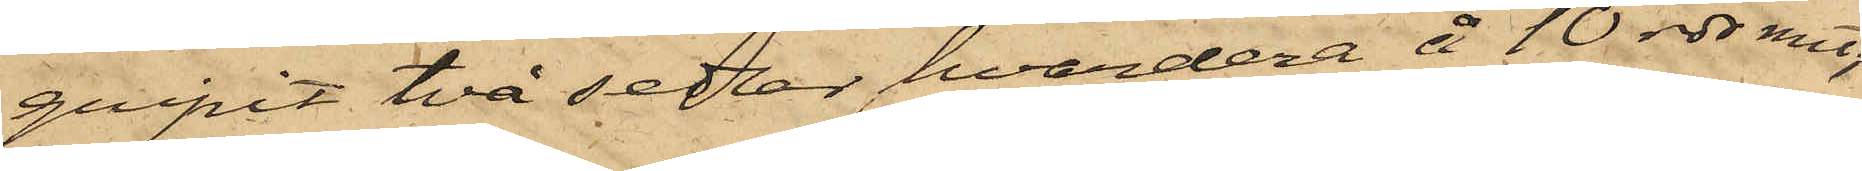gripit två sedlar, hvardera å 10 rdr rmt;
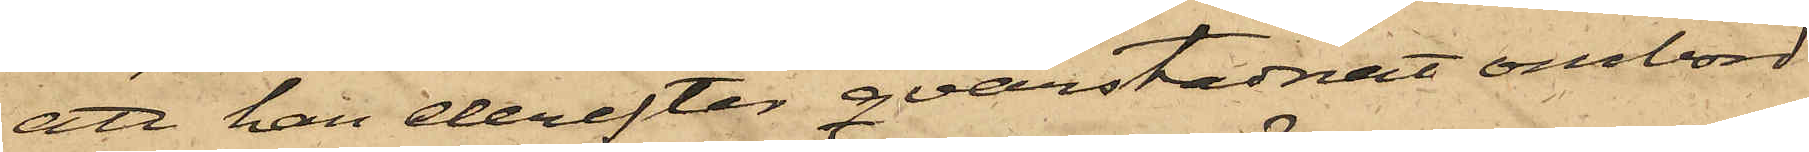att han derefter qvarstadnat ombord
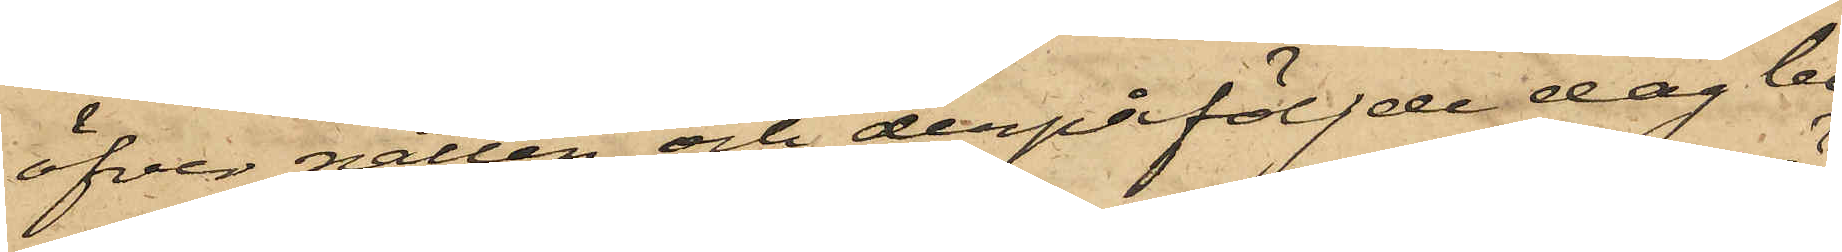öfver natten och derpåföljde dag be¬
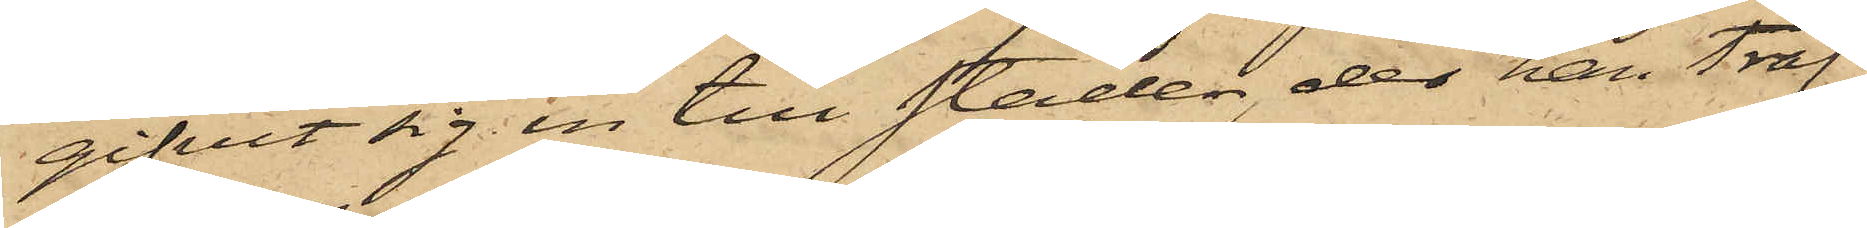gifvit sig in till staden, der han träf¬
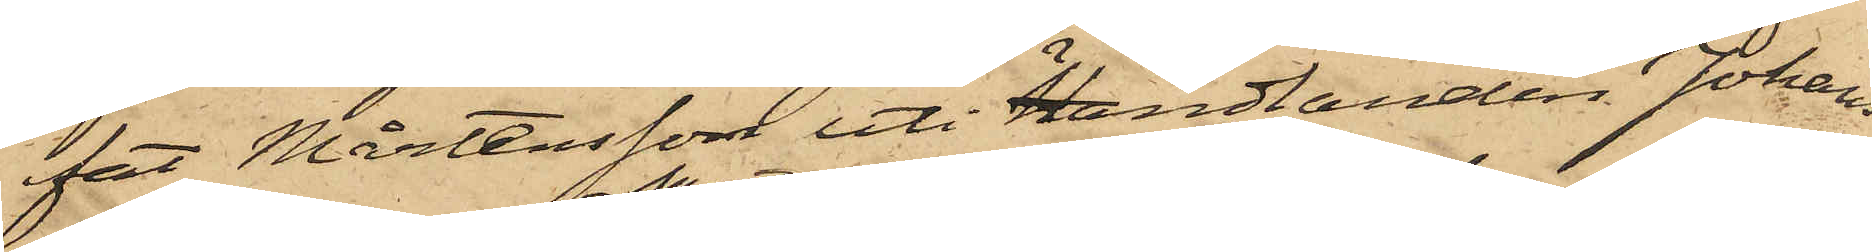fat Mårtensson uti Handlanden Johans¬
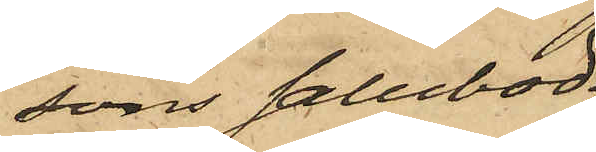sons Salubod,
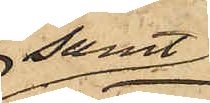samt
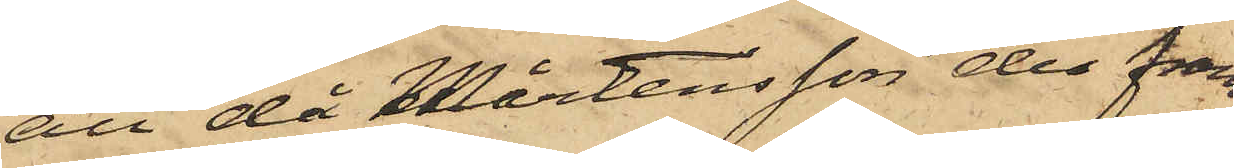att då Mårtensson der fram¬
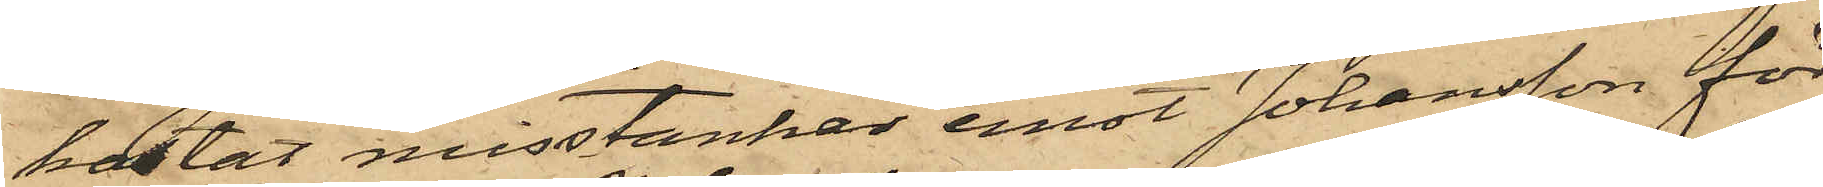kastat misstankar emot Johansson för
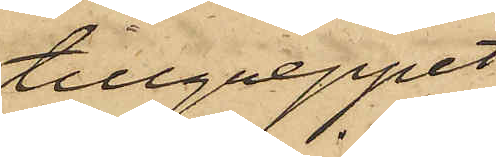tillgreppet,
